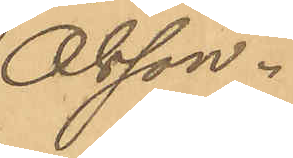Olsson.
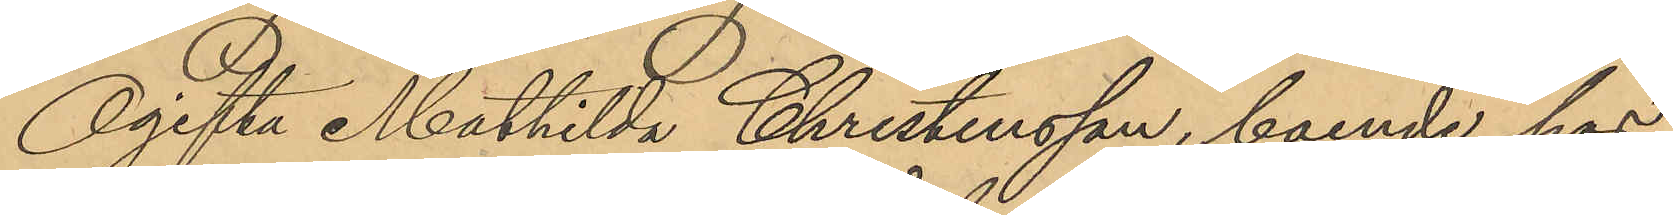Ogifta Mathilda Christensson, boende hos
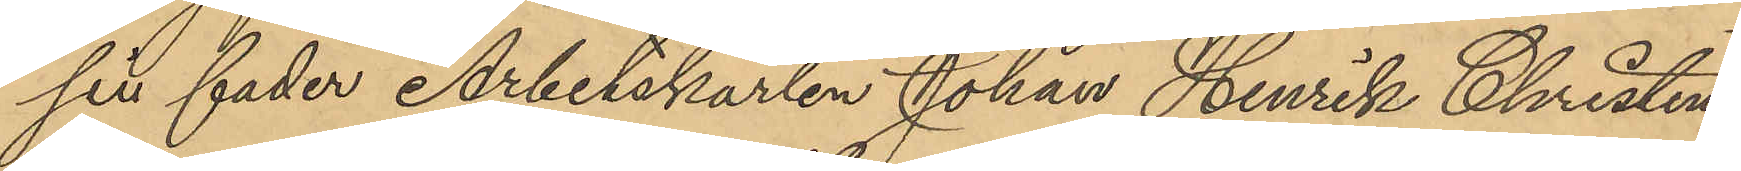sin fader Arbetskarlen Johan Henrik Christens¬
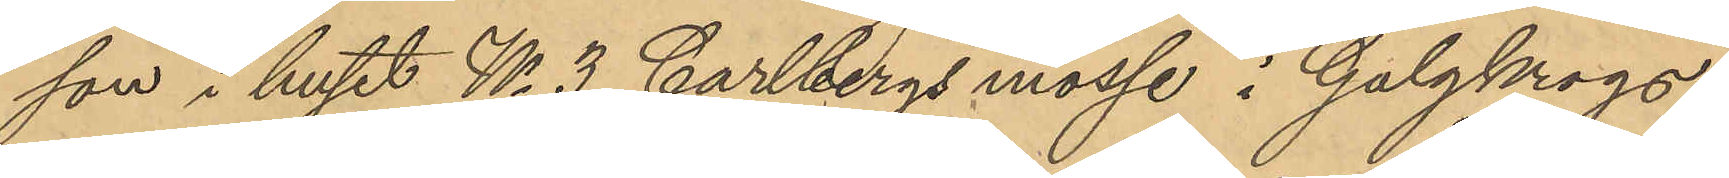son i huset No 3 Carlbergs mosse i Galgkrogs¬
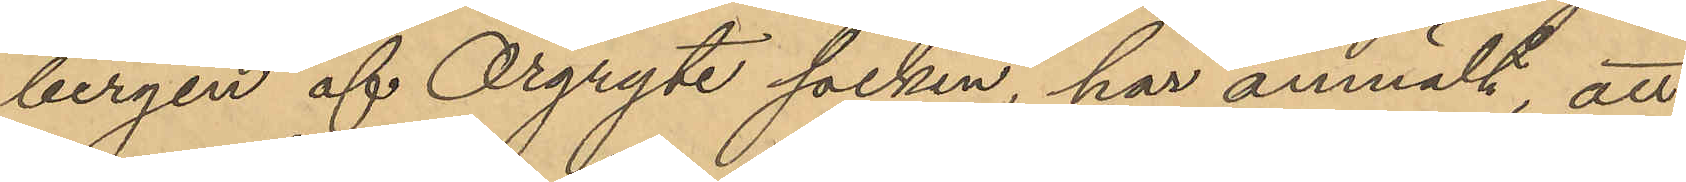bergen af Örgryte socken, har anmält, att
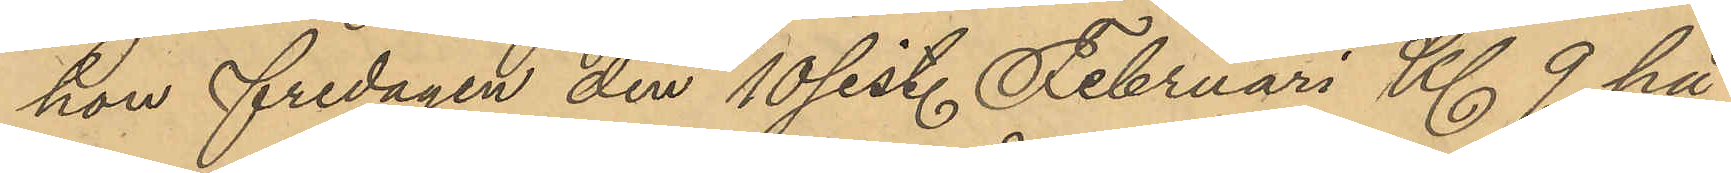hon fredagen den 10 sist. Februari Kl. 9 på
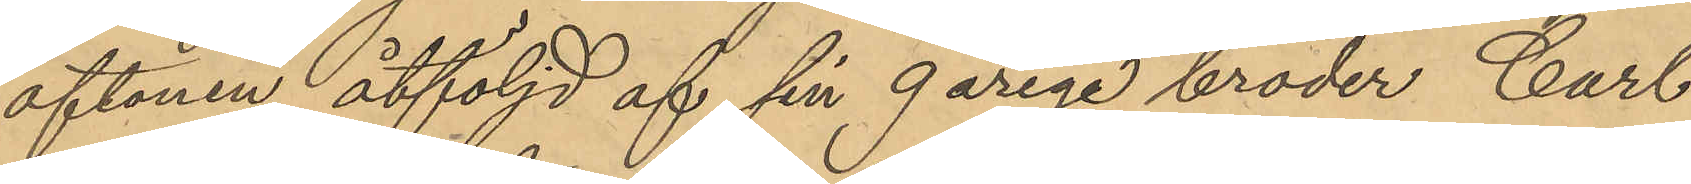aftonen, åtföljd af sin 9 årige broder Carl
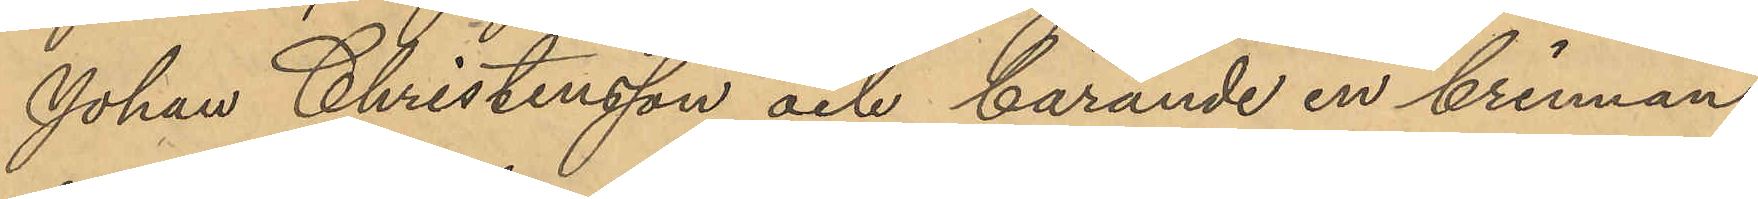Johan Christensson och bärande en brinnan¬
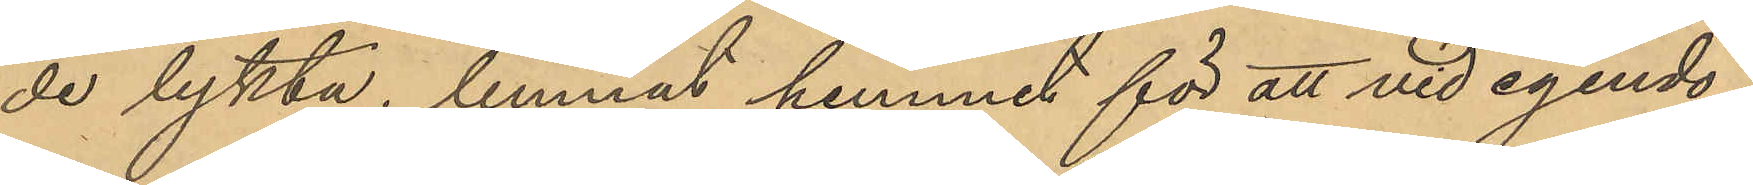de lykta, lemnat hemmet för att vid egendo¬
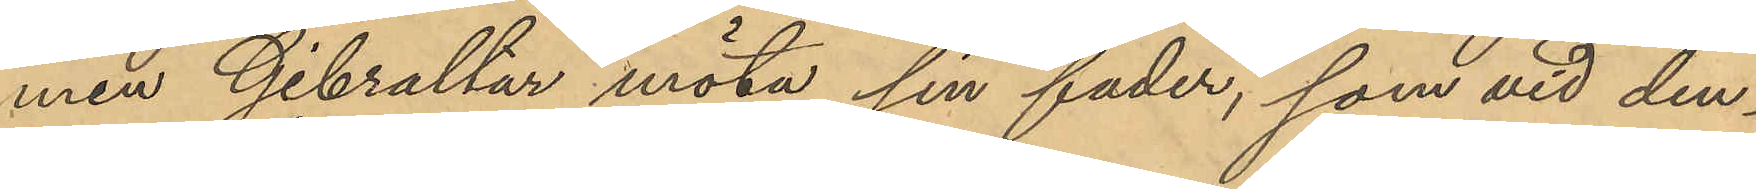men Gibraltar möta sin fader, som vid den¬
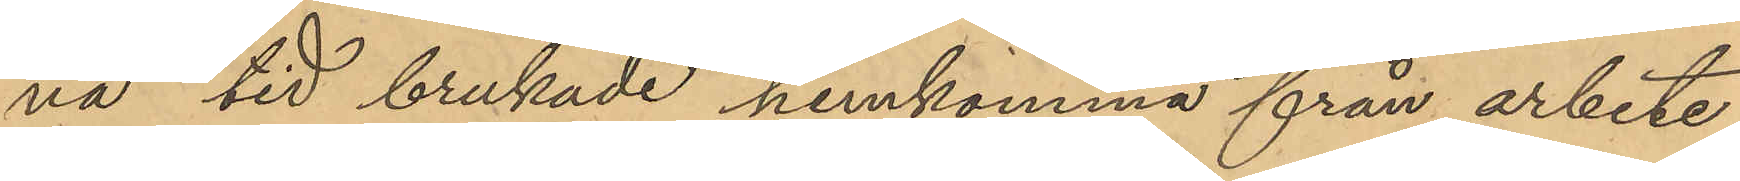na tid brukade hemkomma från arbete
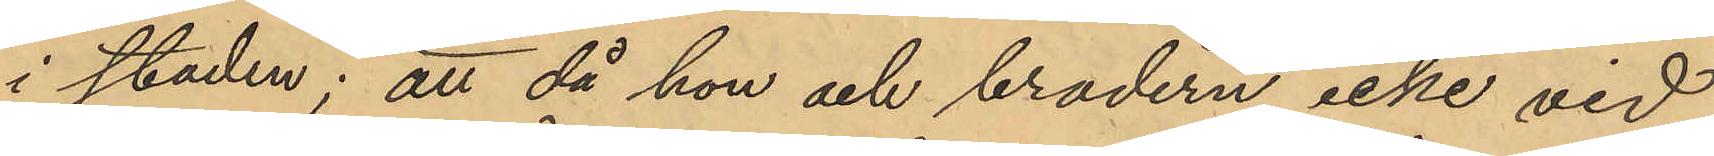i staden; att då hon och brodern icke vid
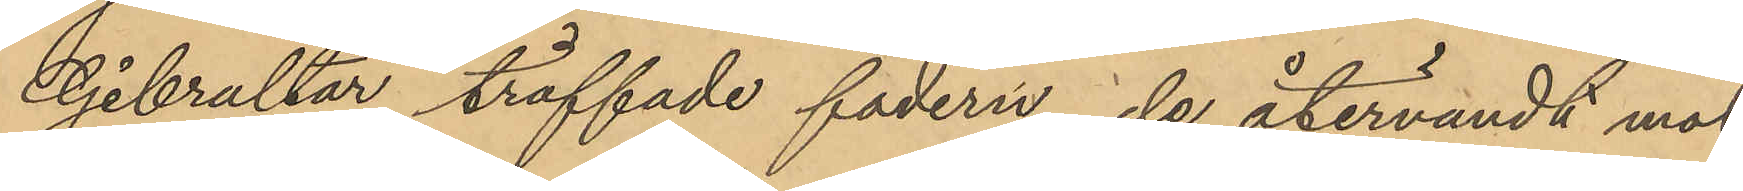Gibraltar träffade fadern, de återvändt mot
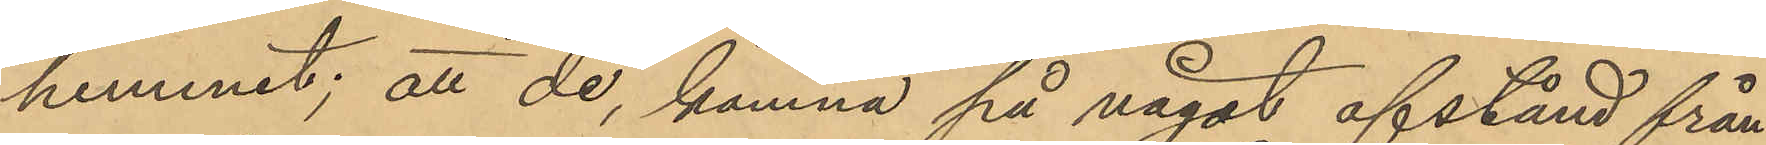hemmet; att de, komna på något afstånd från
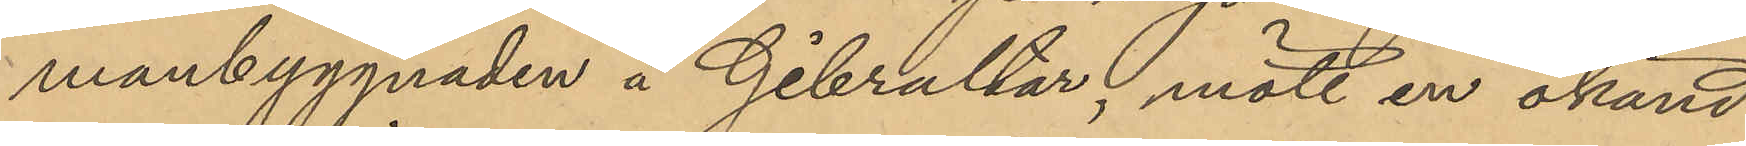manbyggnaden å Gibraltar, mött en okänd
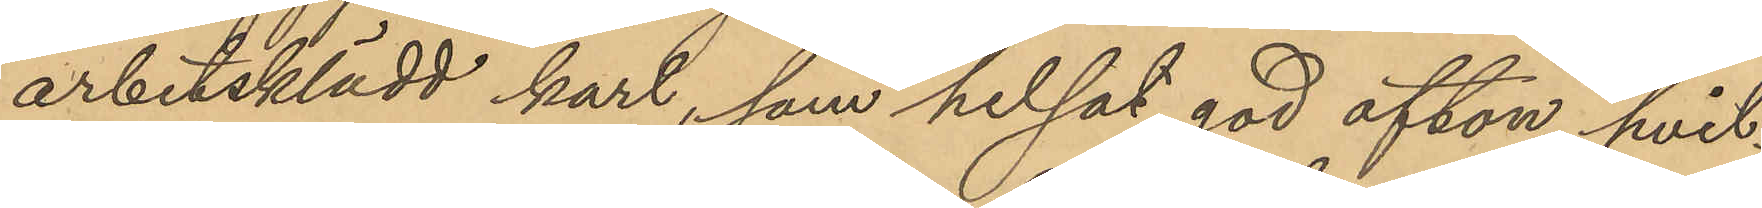arbetsklädd karl, som helsat god afton, hvil¬
